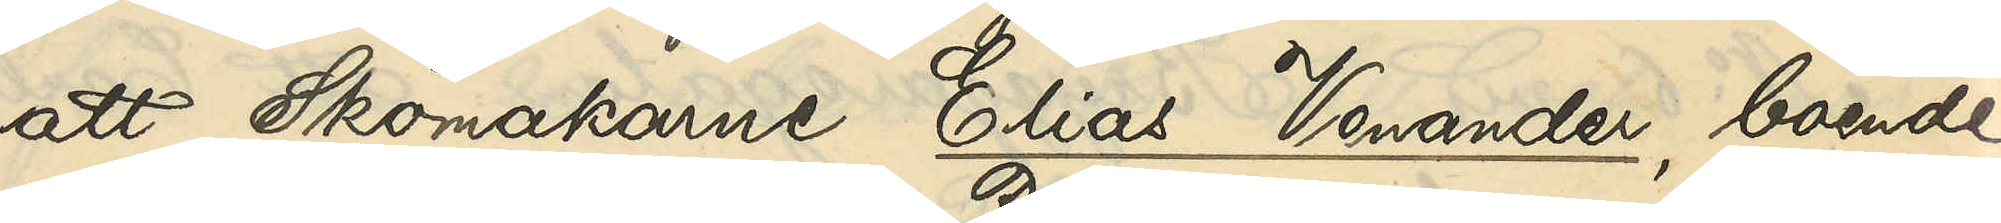att Skomakarne Elias Venander, boende
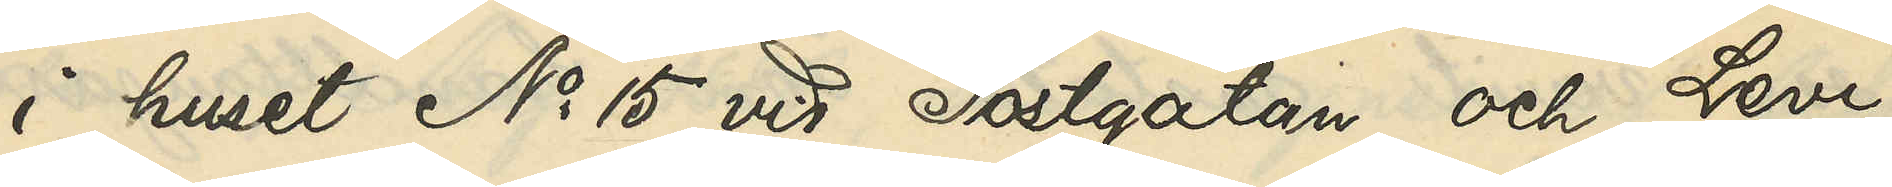i huset No 15 vid Postgatan och Levi
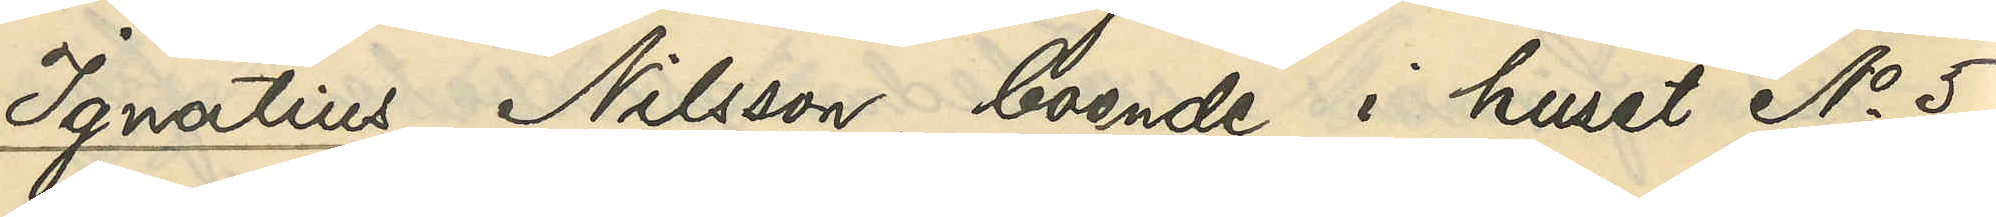Ignatius Nilsson, boende i huset No 5
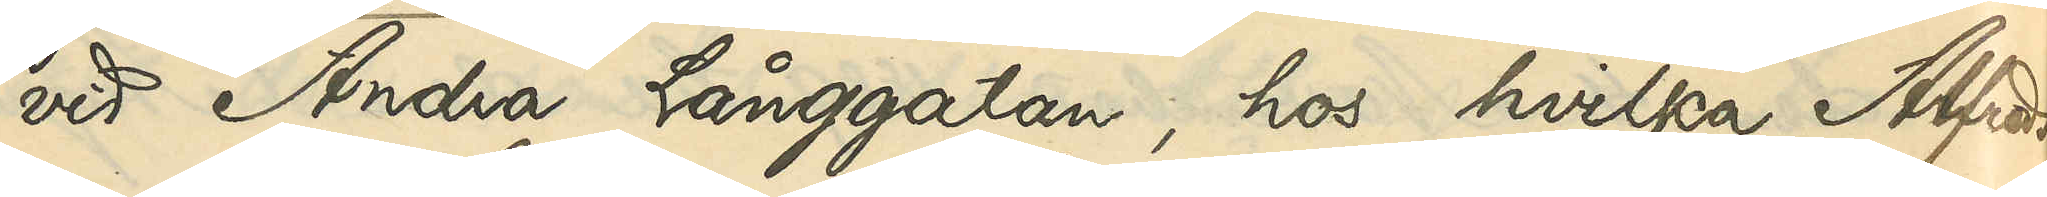vid Andra Långgatan, hos hvilka Alfreds¬
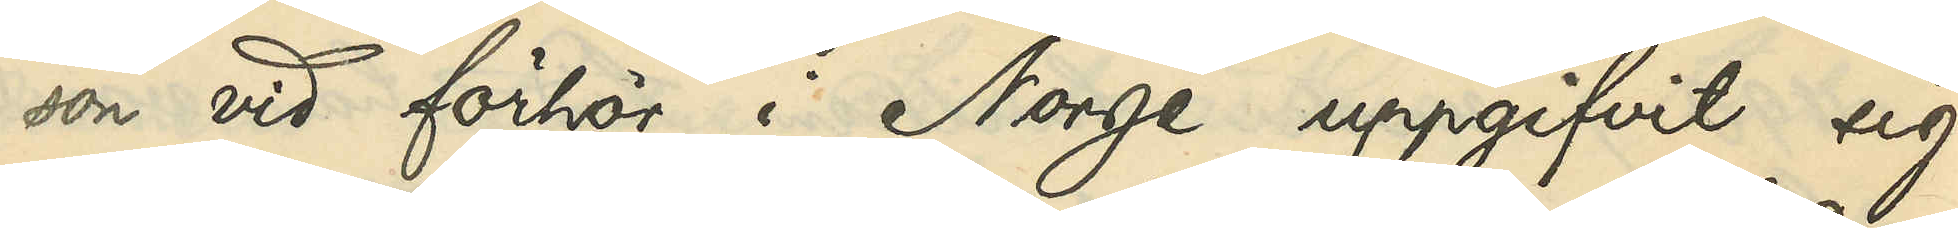son vid förhör i Norge uppgifvit sig
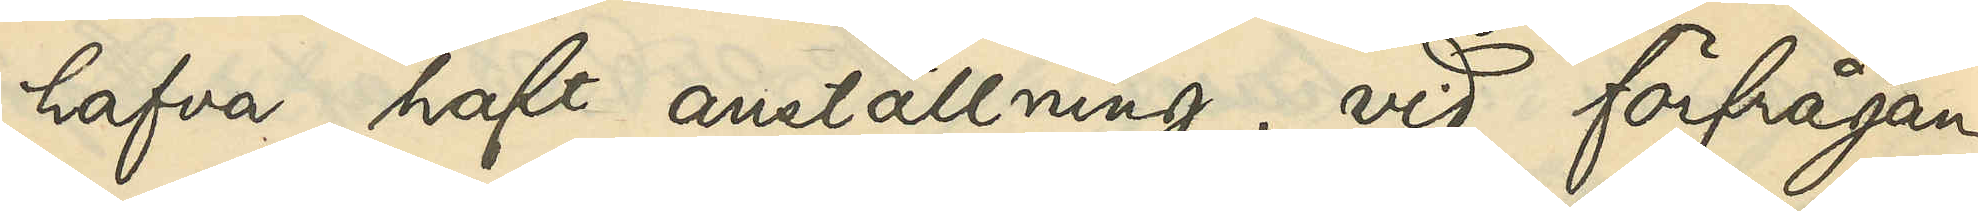hafva haft anställning, vid förfrågan
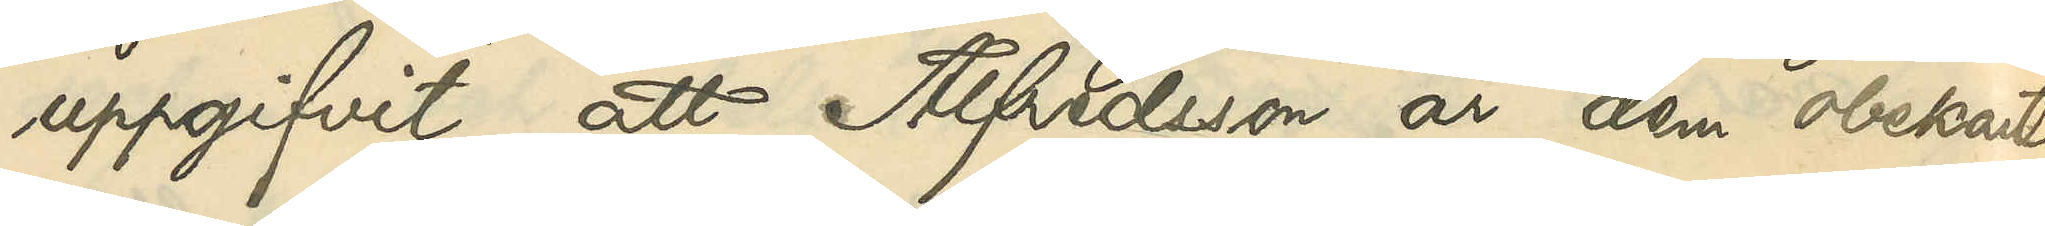uppgifvit, att Alfredsson är dem obekant.
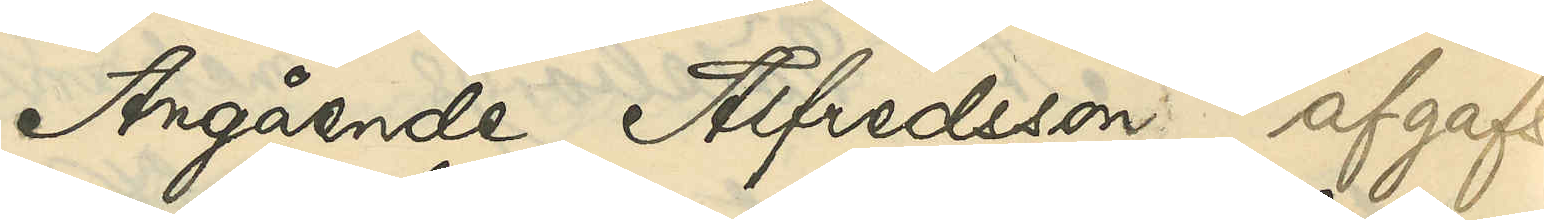Angående Alfredsson: afgafs
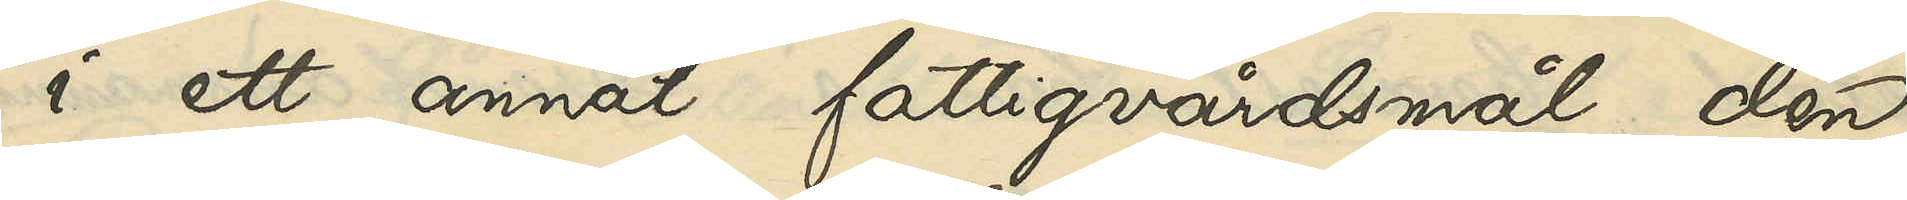i ett annat fattigvårdsmål den
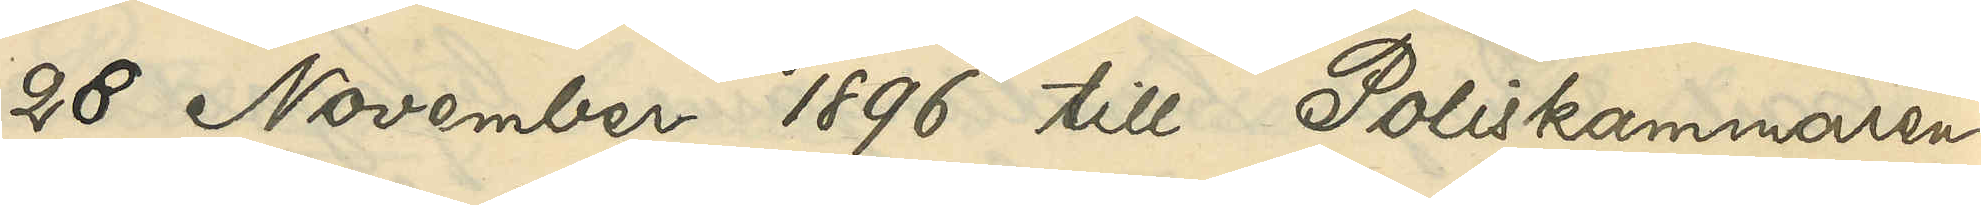28 November 1896 till Poliskammaren
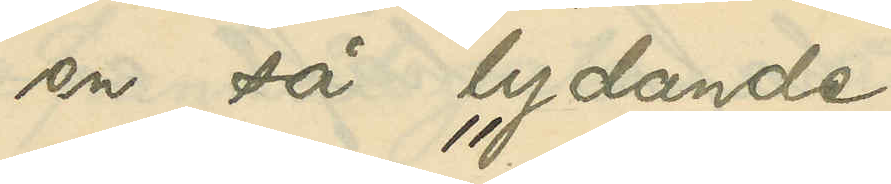en så lydande
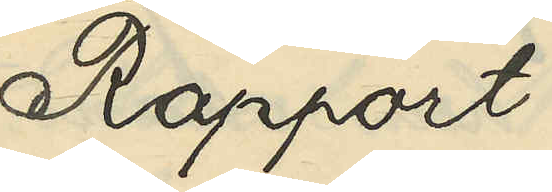"Rapport
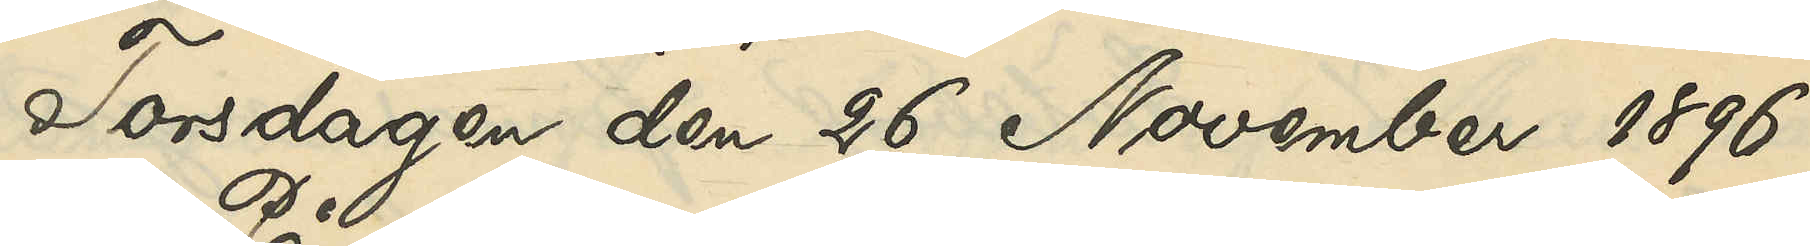Torsdagen den 26 November 1896
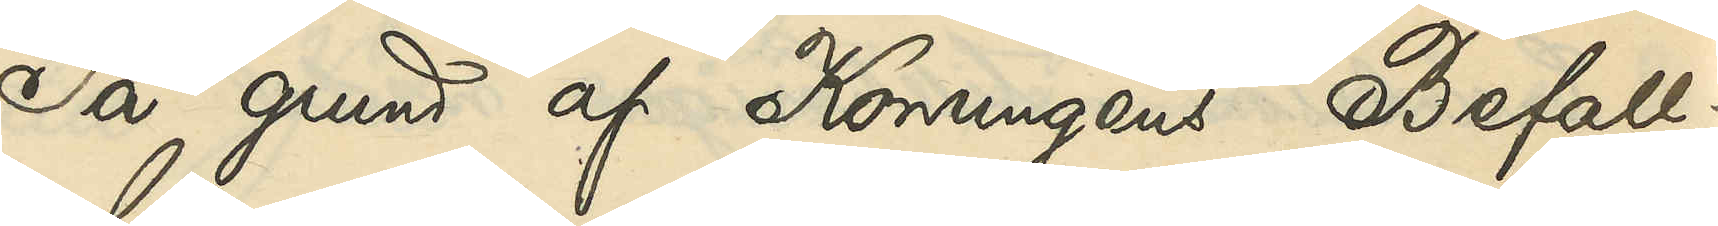På grund af Konungens Befall¬
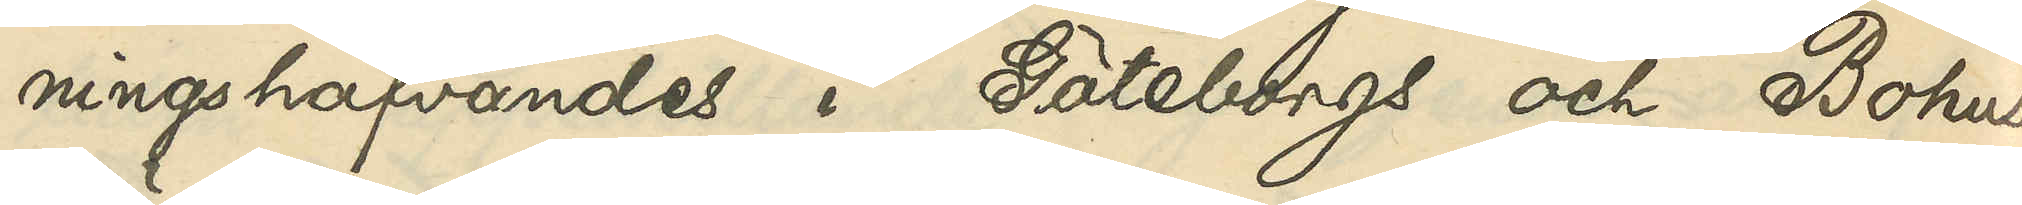ningshafvandes i Göteborgs och Bohus
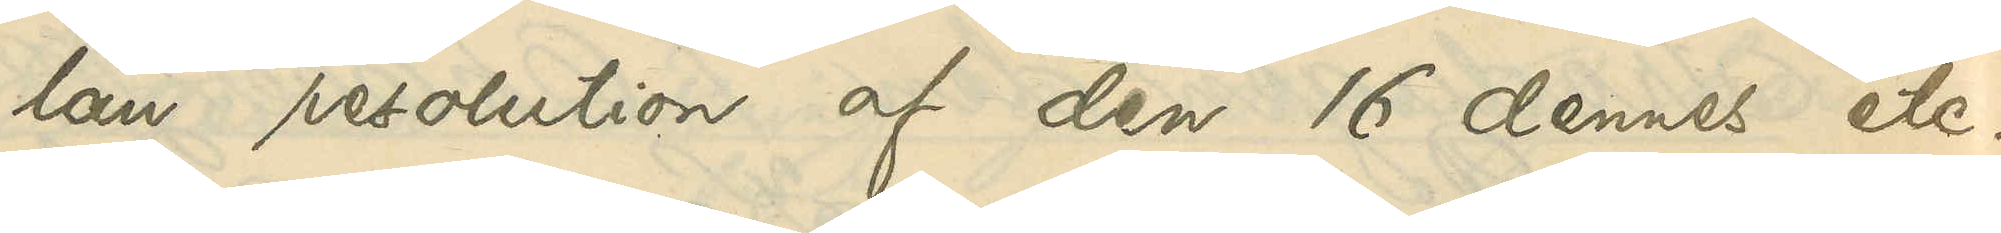län resolution af den 16 dennes etc.
